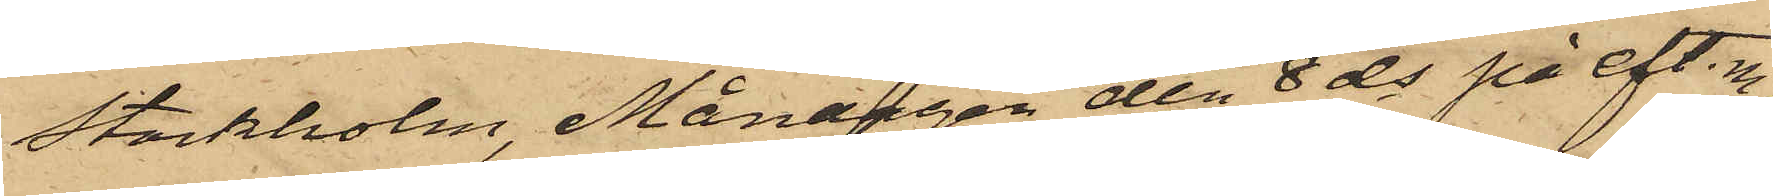Stockholm, Måndagen den 8 ds på eft. m.
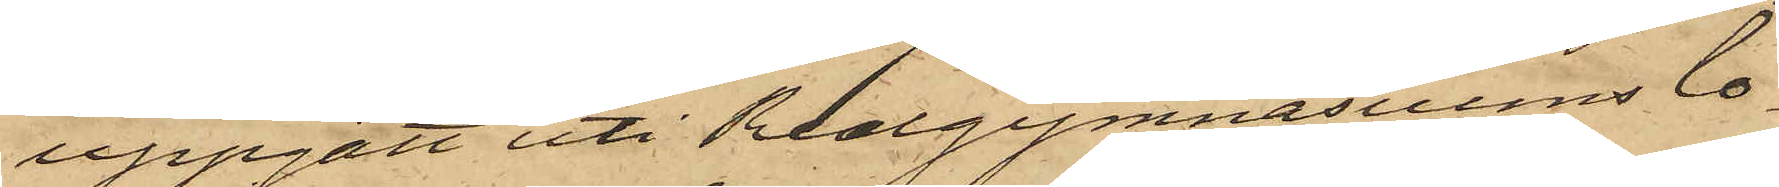uppgått uti Realgymnasiums lo¬
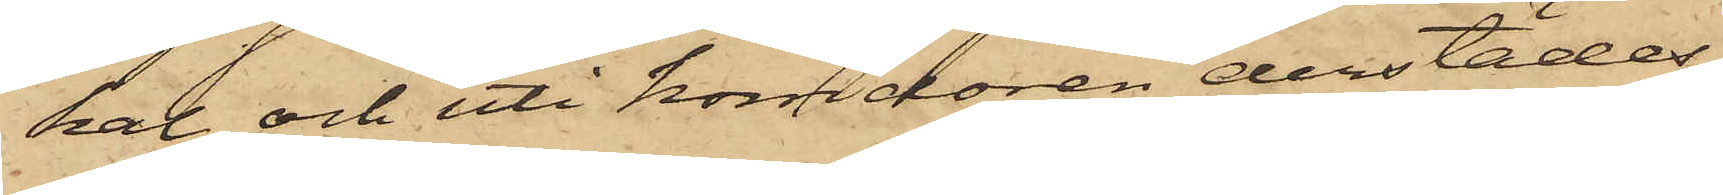kal och uti korridoren derstädes
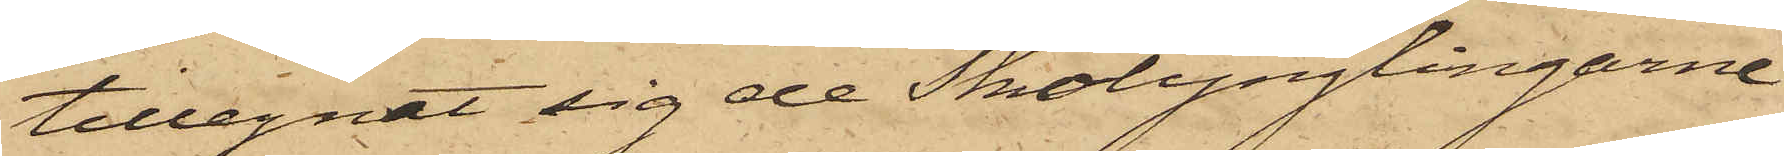tillegnat sig de Skolynglingarne
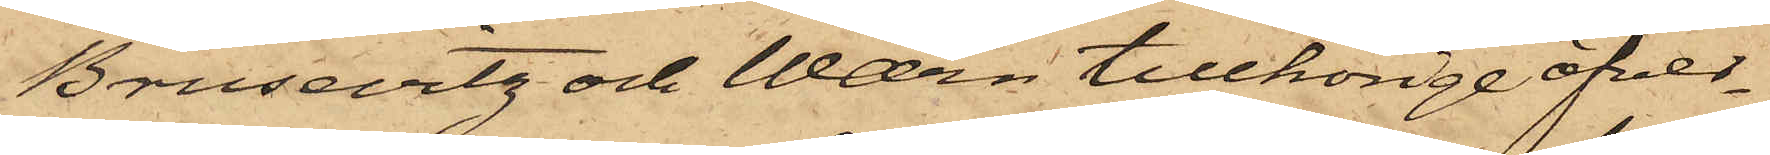Brusevitz och Wærn tillhörige öfver¬
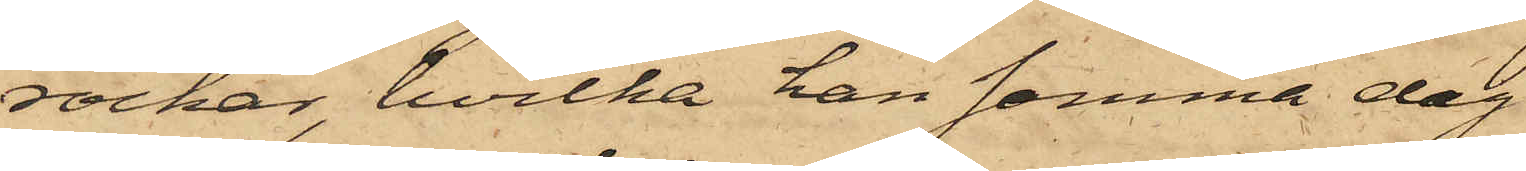rockar, hvilka han samma dag
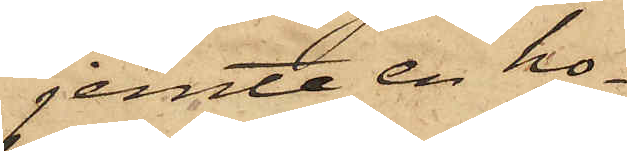jemte en ho¬
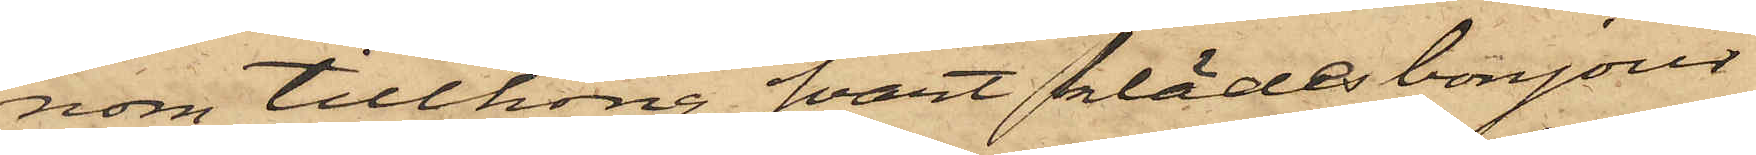nom tillhörig svart klädesbonjour
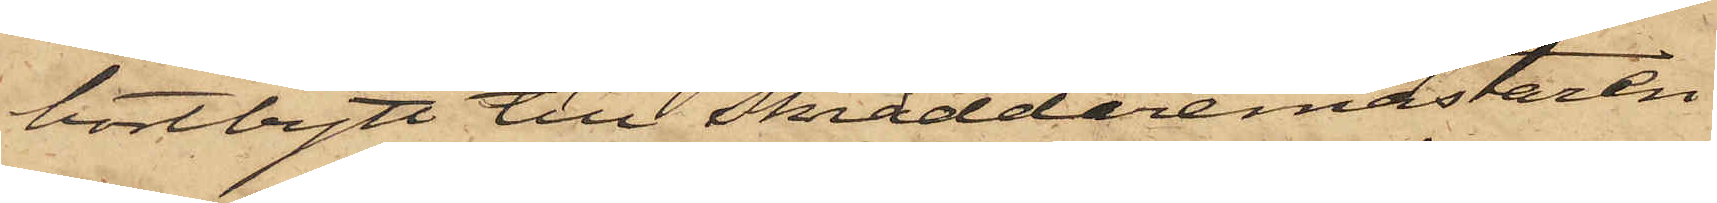bortbytt till Skräddaremästaren
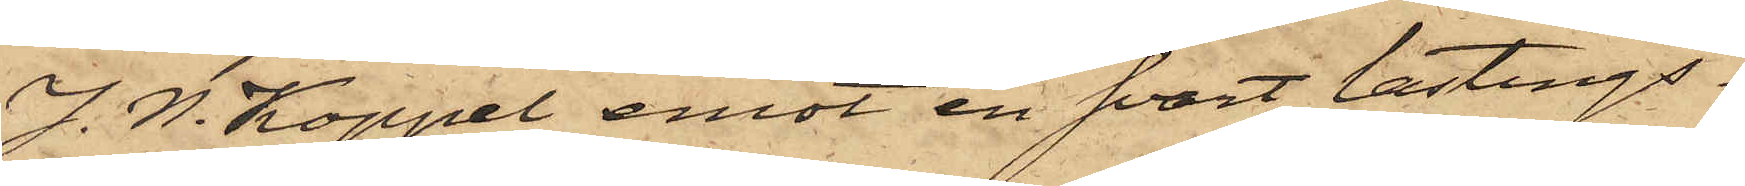J. W. Koppel emot en svart lastings¬
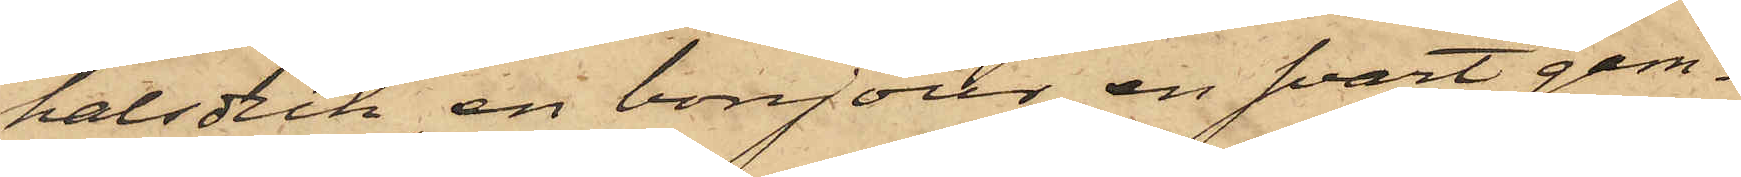halsduk, en bonjour, en svart gam¬
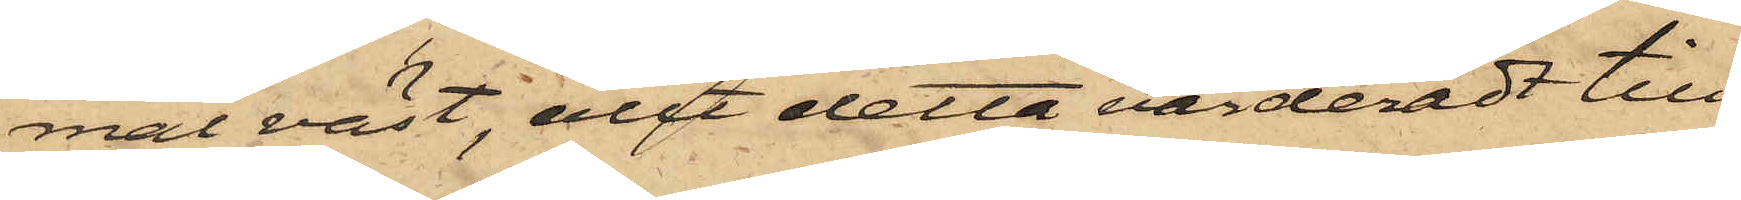mal väst, allt detta värderadt till
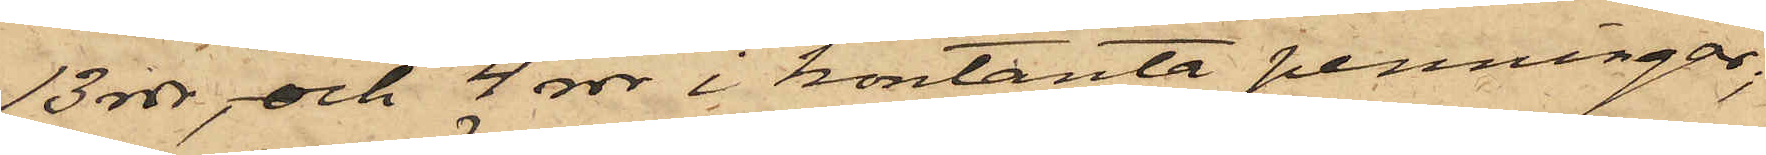13 rdr, och 4 rdr i kontanta penningar;
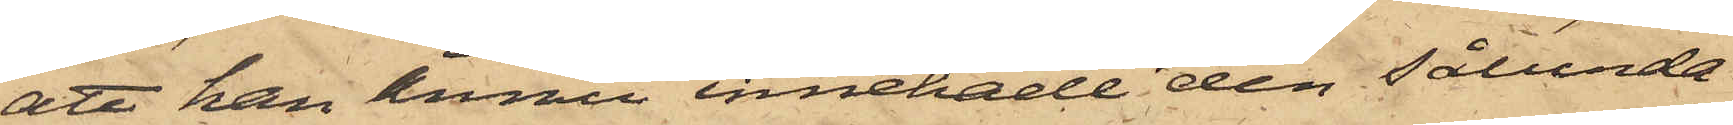att han ännu innehade den sålunda
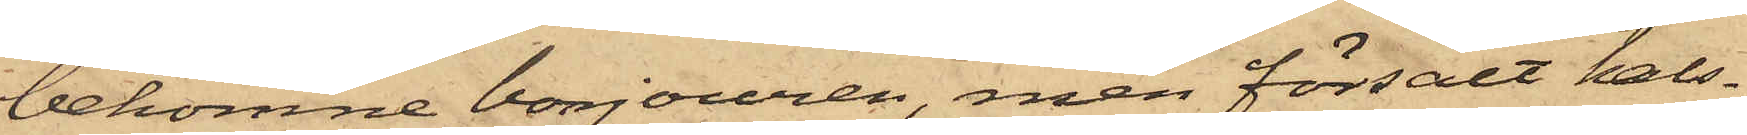bekomne bonjouren men försålt hals¬
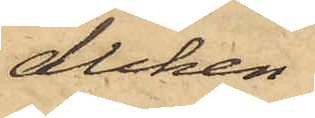duken
